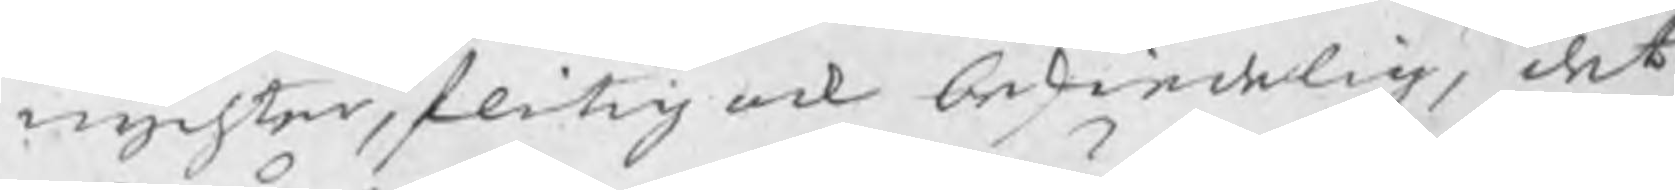nychter, flitig och beskiedelig, det
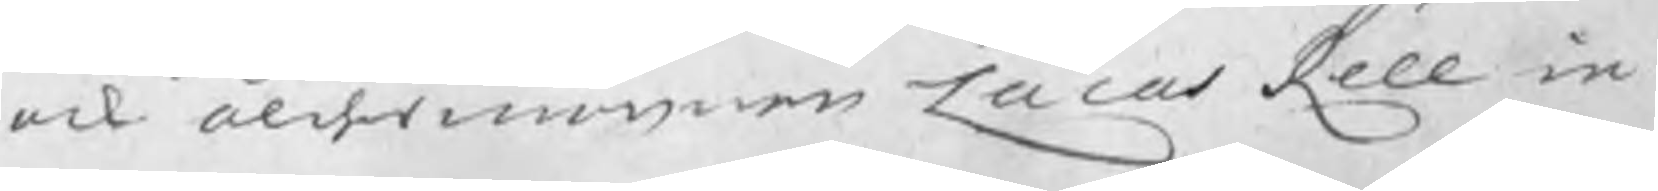ock åldermannen Lucas Rell in¬
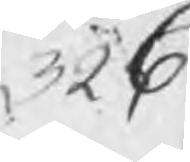326
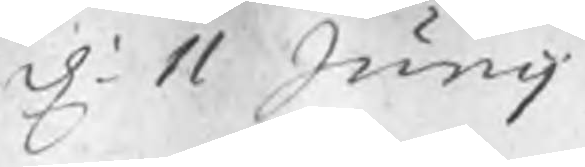d. 11 Junij
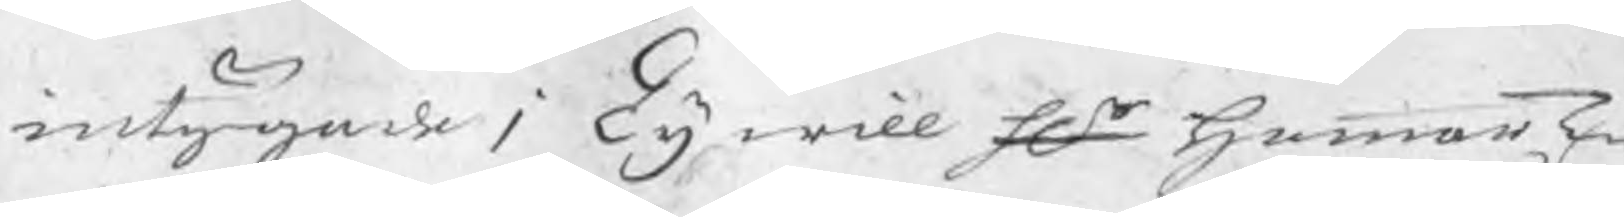intygade; Ty will Hr hammarT
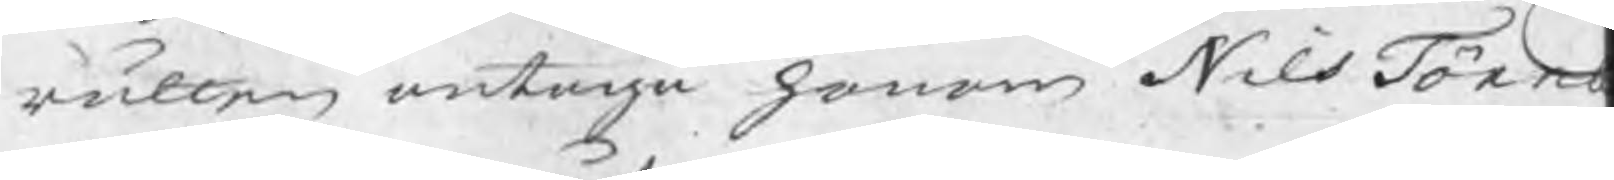rätten antaga honom Nils Törn
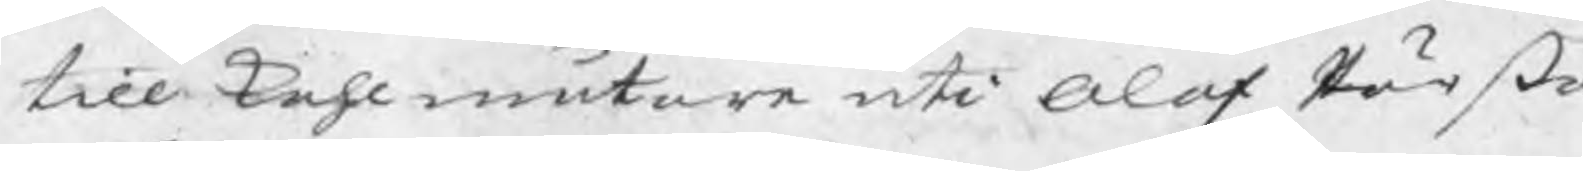till kohlmätare uti Olof Pärßo
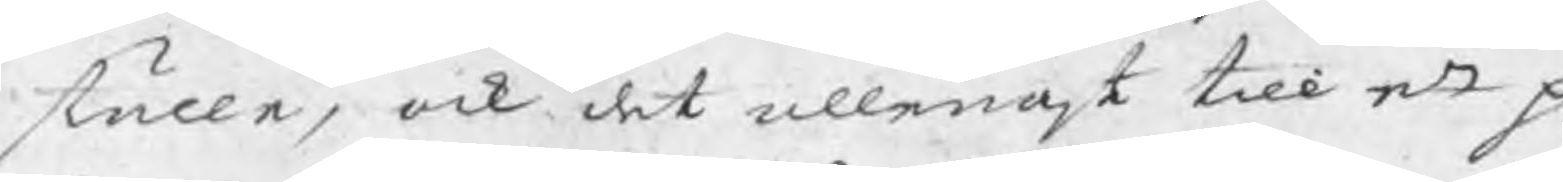ställe, ock det allenast till ett p
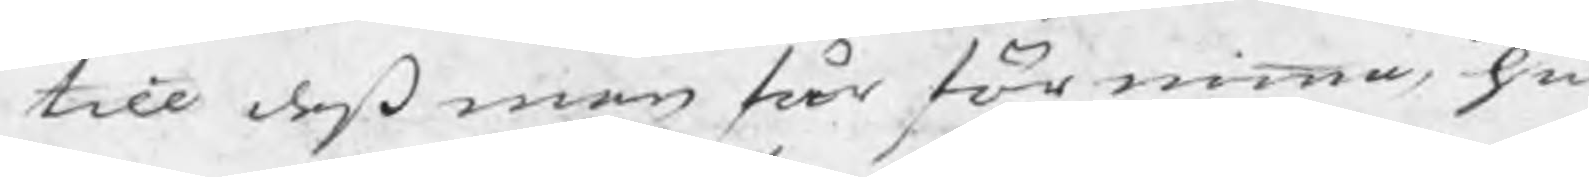till deß man får förnimma hu
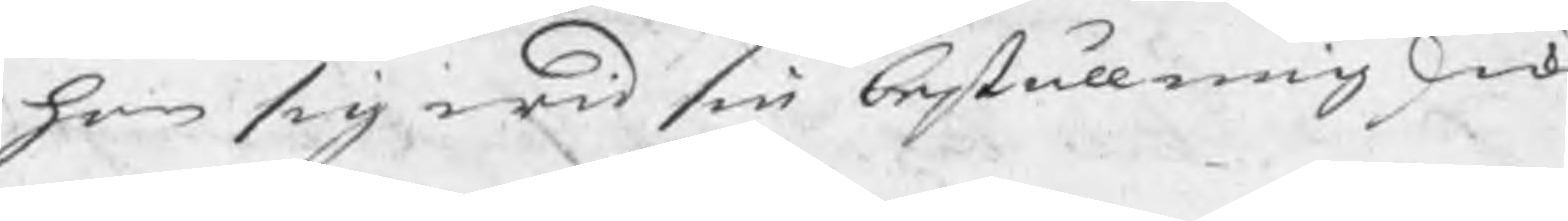han sig wid sin beställning skick
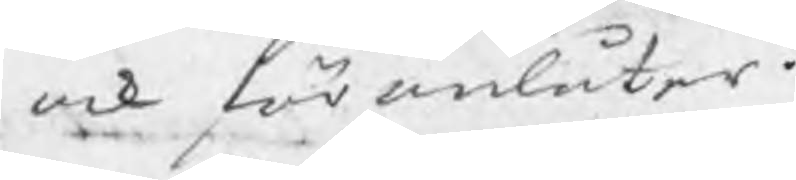ock föranlåter.
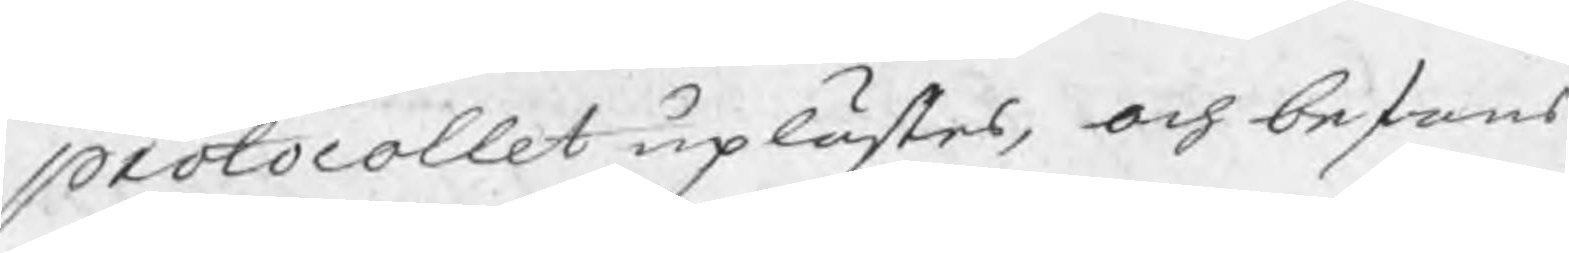Protocollet uplästes, och befans
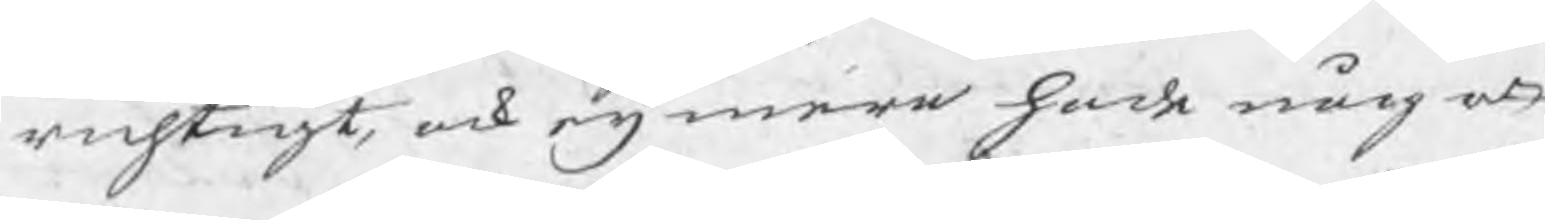richtigt ock eij mera hade något
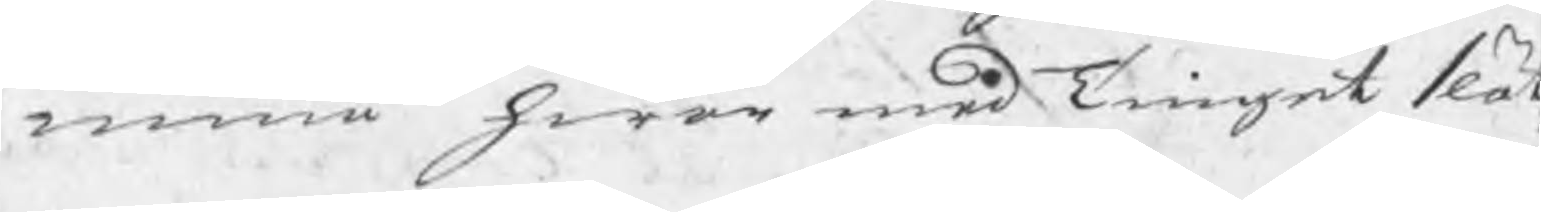ennia hwar med Tinget slötz
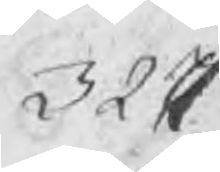327
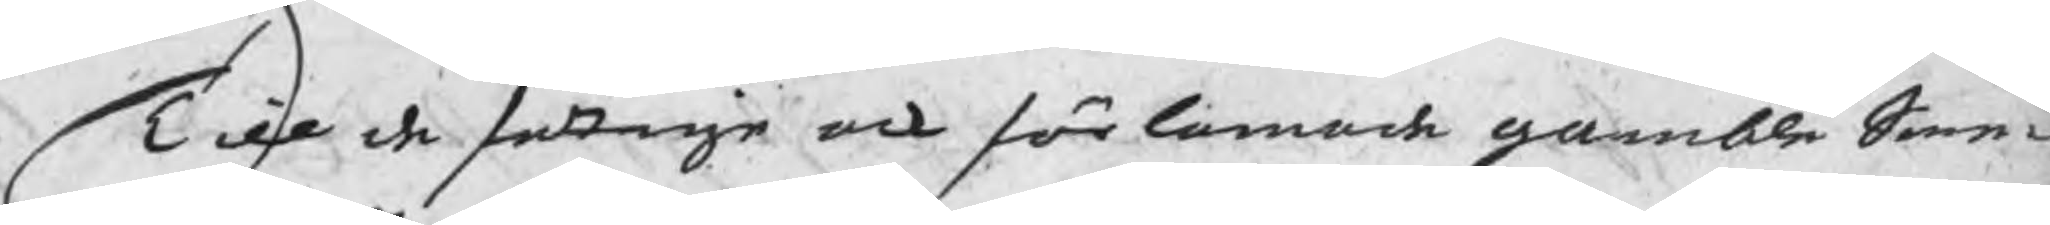Till de fattige ock förlamade gamble Sme¬
